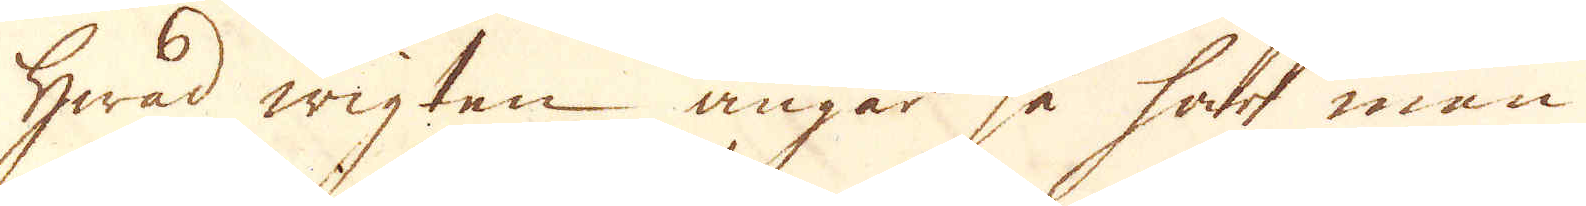Hwad wigten angår så har man
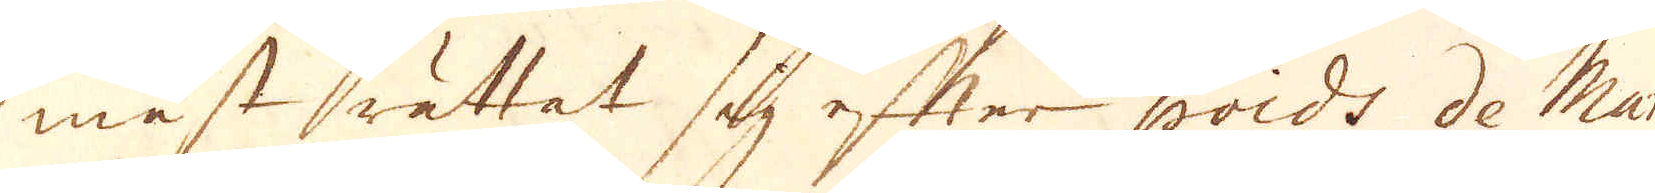mäst inrättat sig efter poids de Man
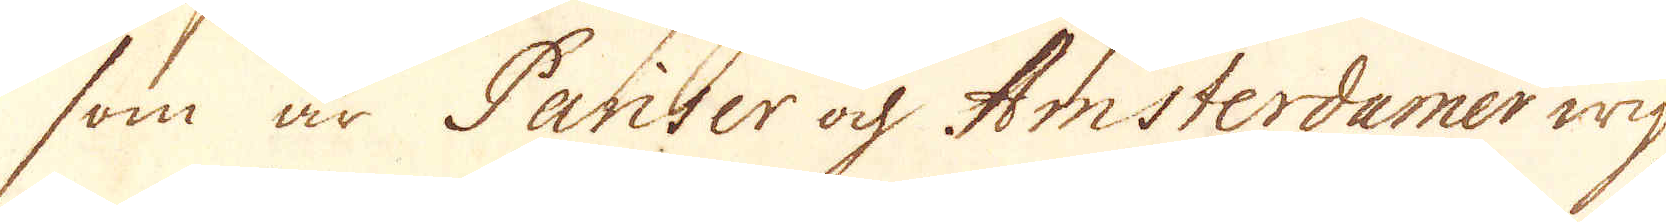som är Pariser o Amsterdamer wigt
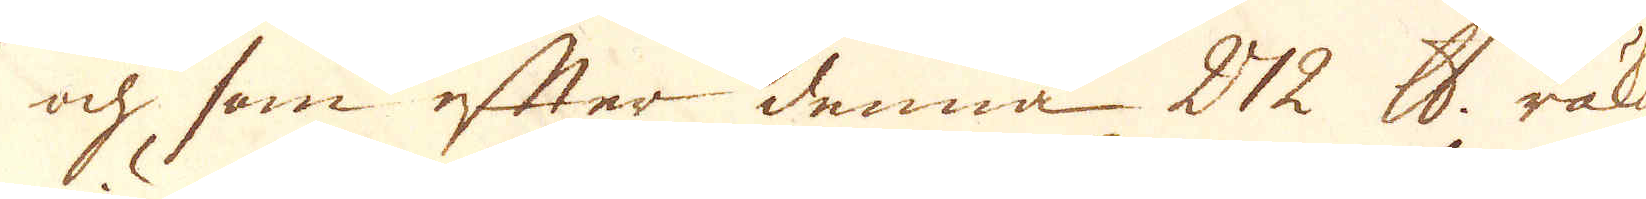och som efter denna 272 skålpund räknas
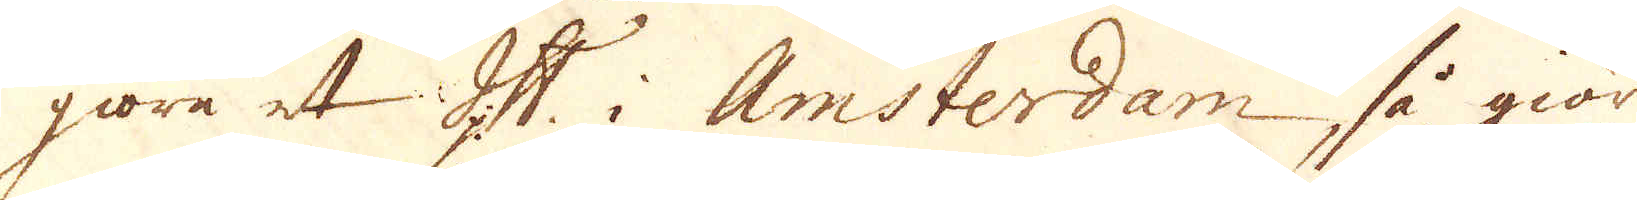göra et lispund i Amsterdam så giör
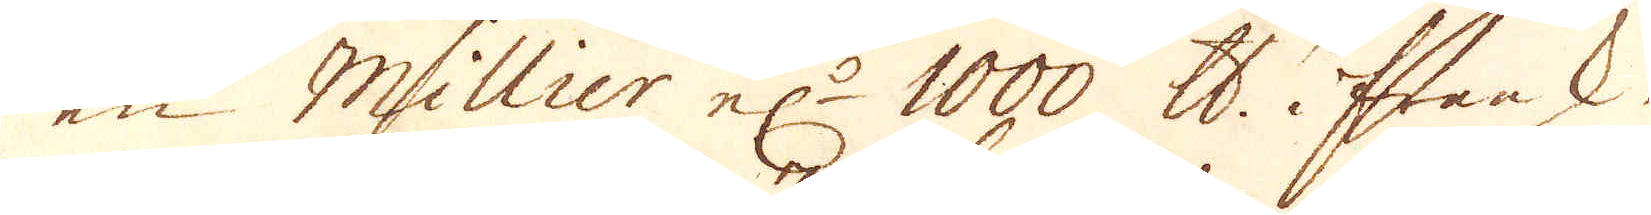en Millier el:r 1000 skålpund i fransk
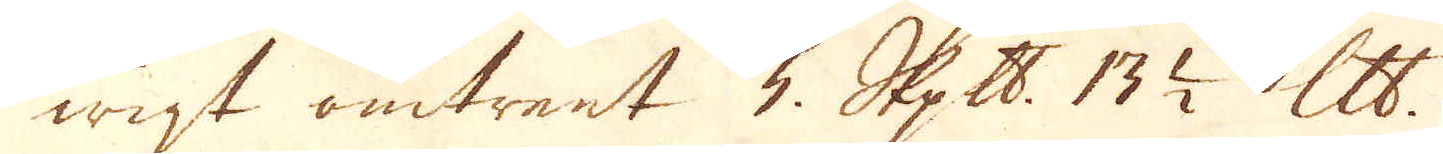wigt omtrent 3. Skeppund 13 1/2 lispund.
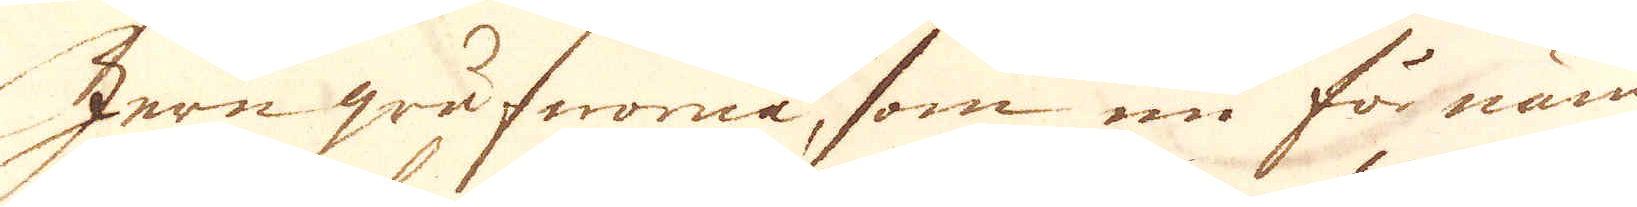Jern grufworna, som nu för näm-
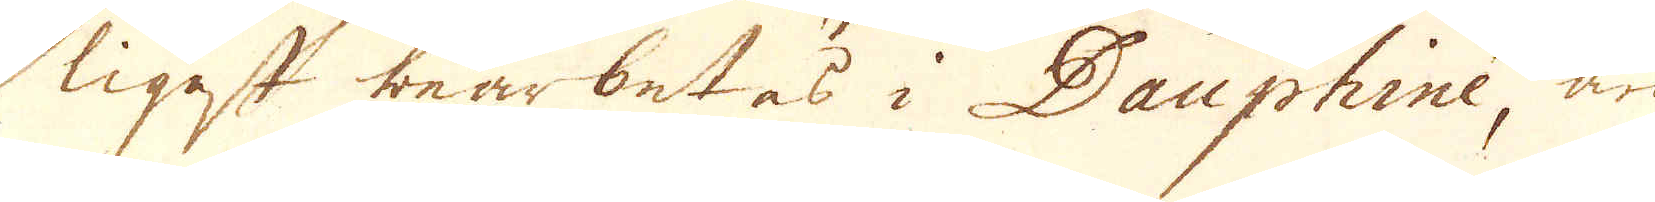ligast bearbetas i Dauphine, är
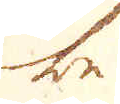be
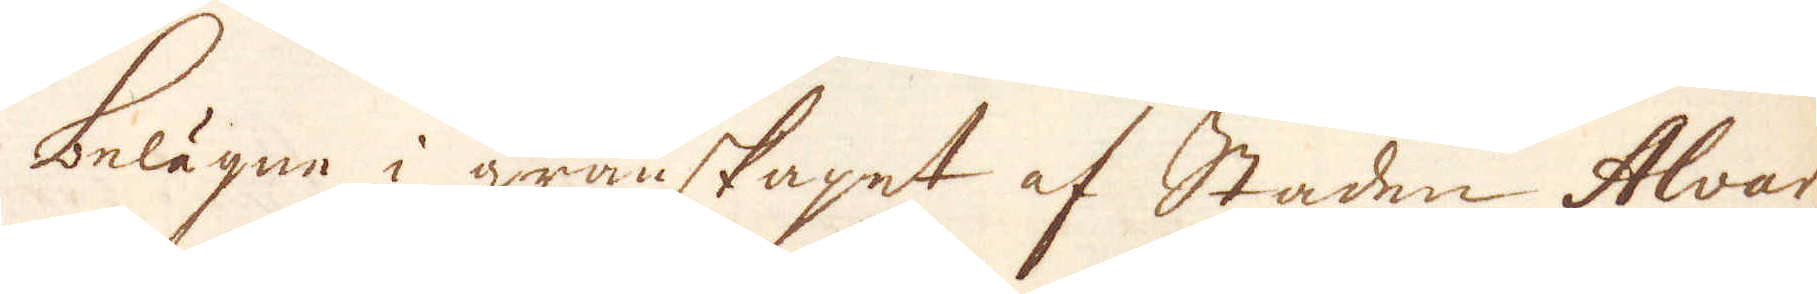belägne i granskapet af Staden Alvar,
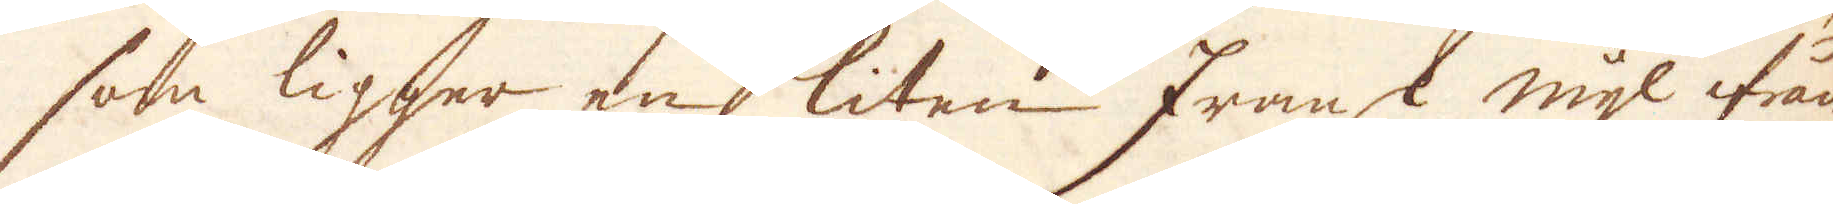som ligger en liten fransk mijl ifrån
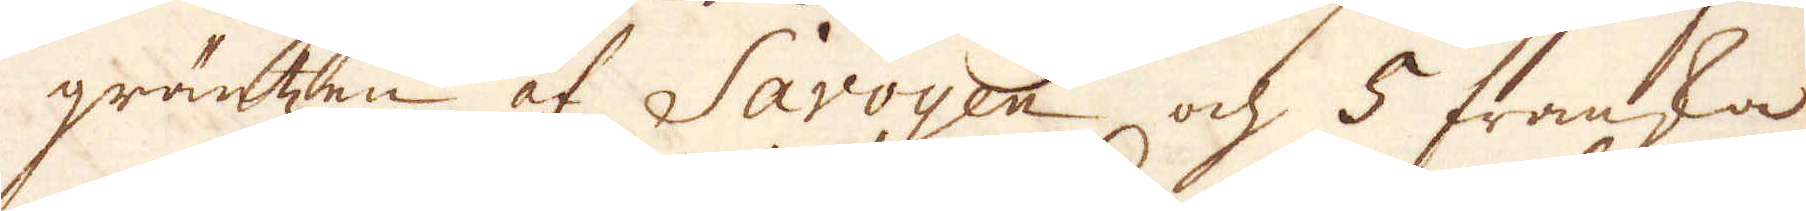gräntzen af Savoyen och 5 franska
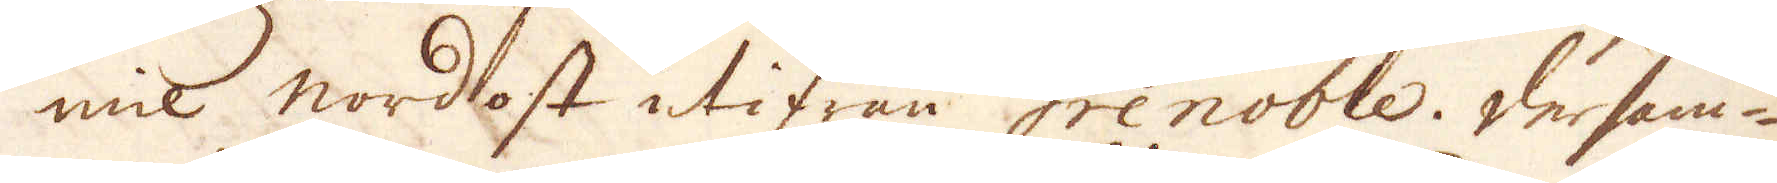mil nordost utifrån Grenoble. Dersam-
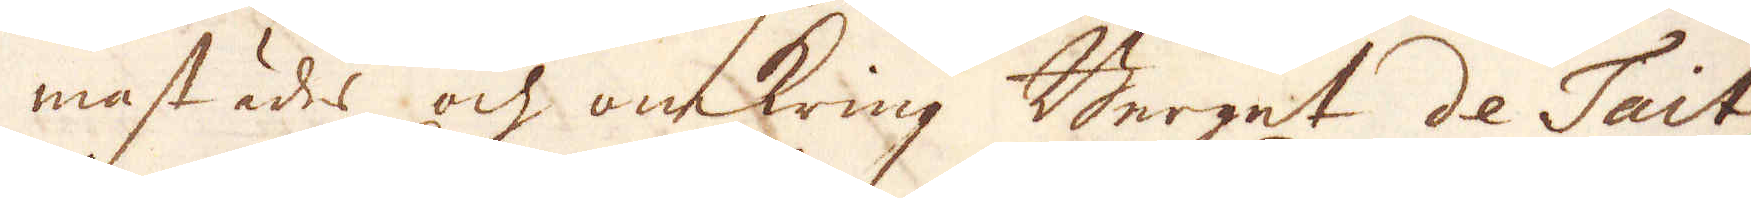mastädes och omkring Berget de Tait
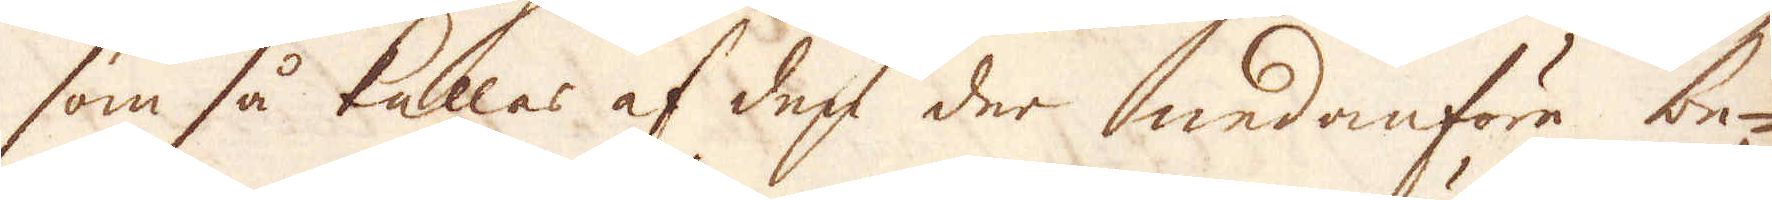som så kallas af den der nedanföre be-
